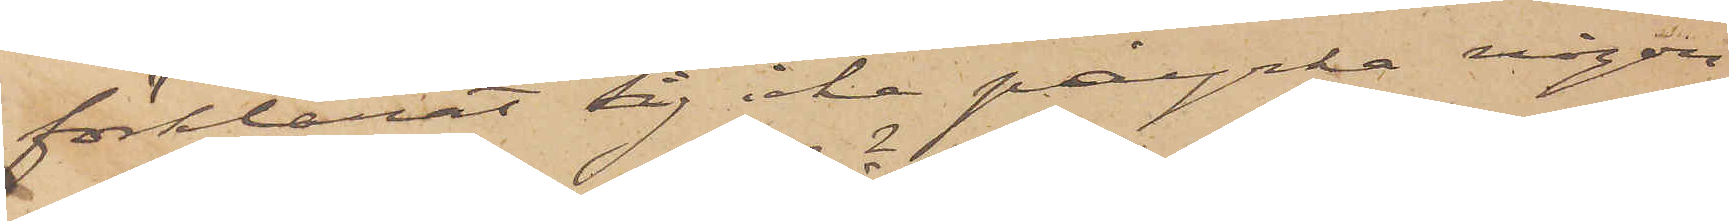förklarat sig icke påyrka någon
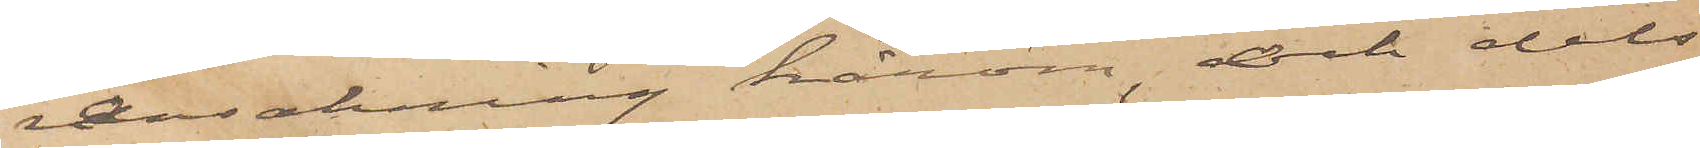ransakning härom, och dels
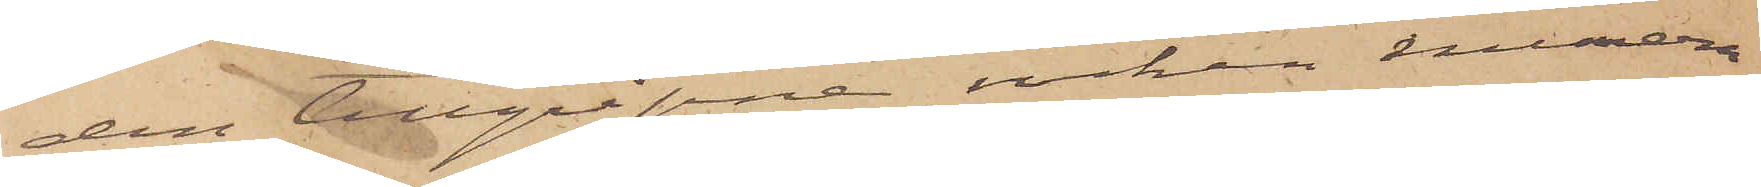den tillgripne rocken numera
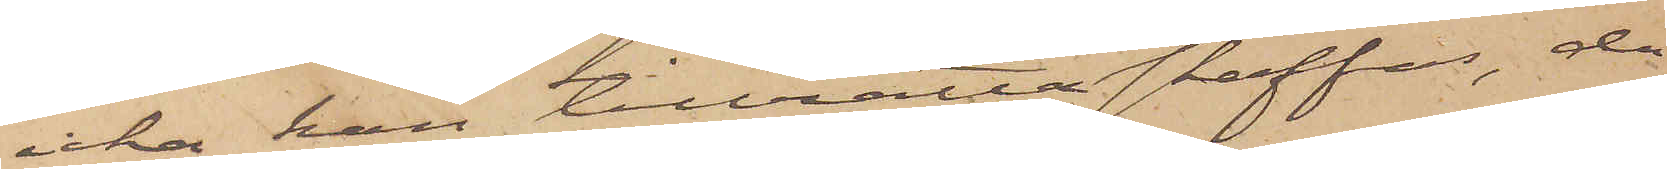icke kan tillrättaskaffas, då
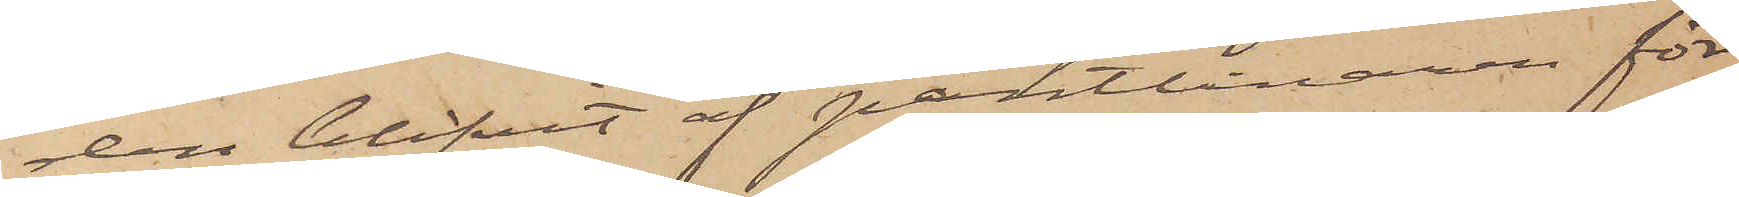den blifvit af Pantlånaren för¬
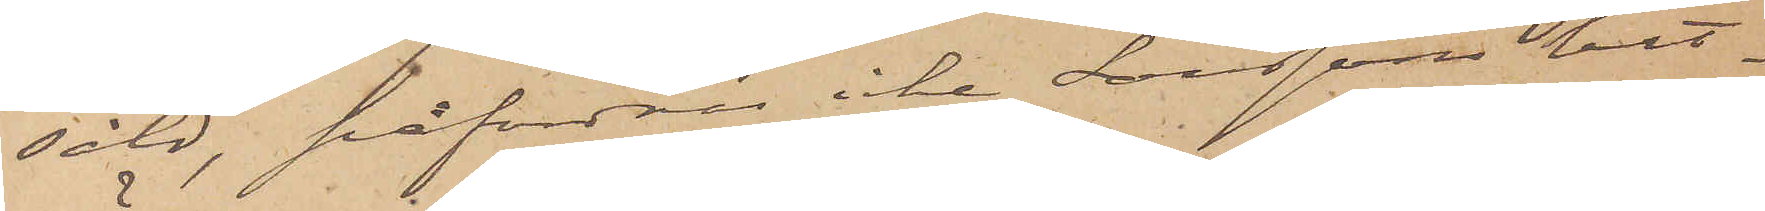såld, påfordras icke Larssons hit¬
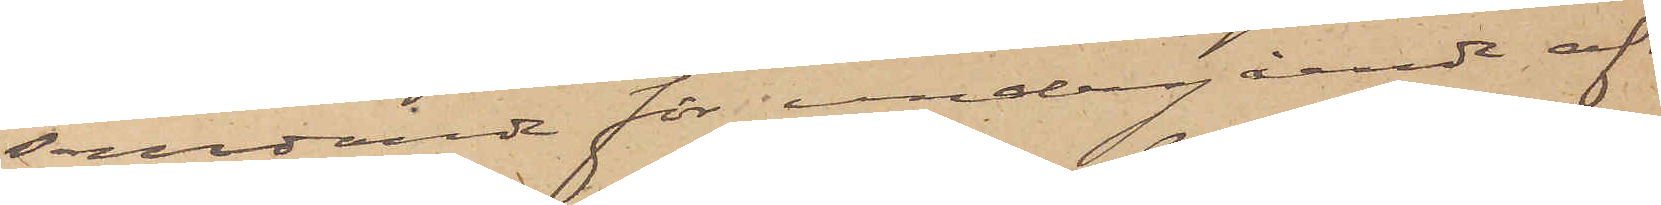sändande för undergående af
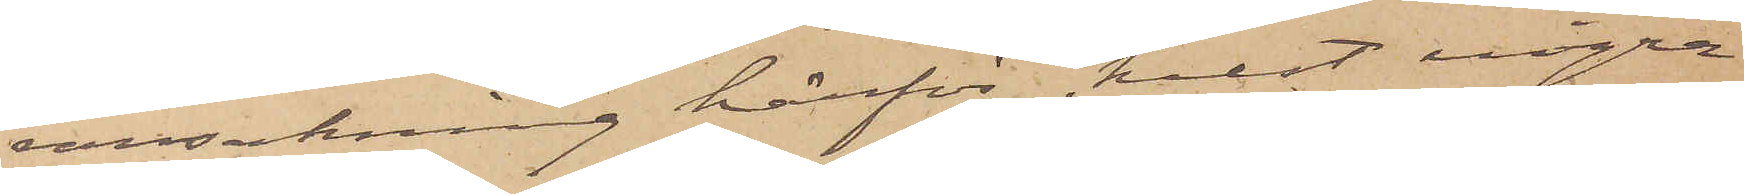ransakning härför, helst några
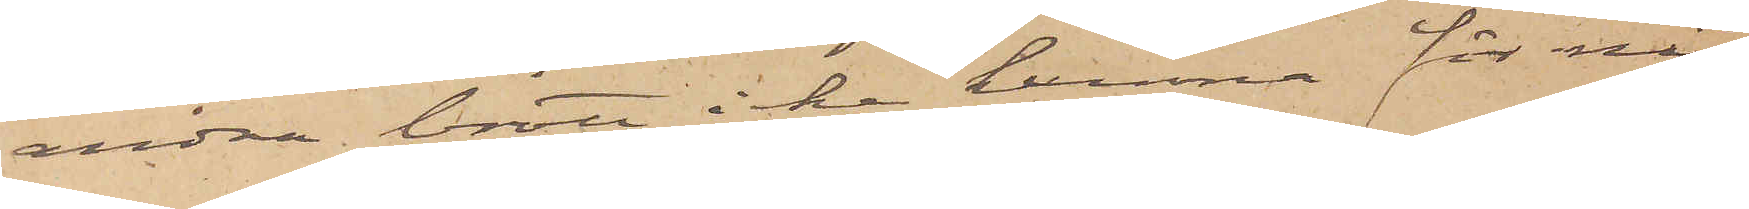andra brott icke kunna för när¬
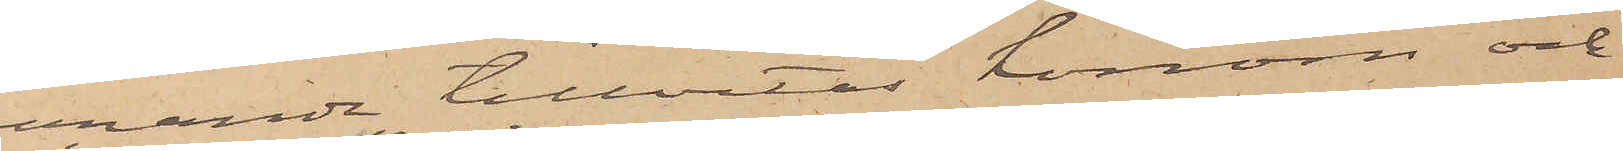varande tillvitas honom och
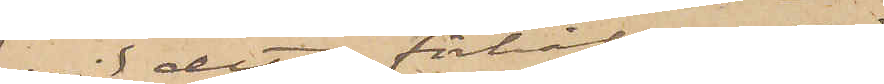vid detta förhållande
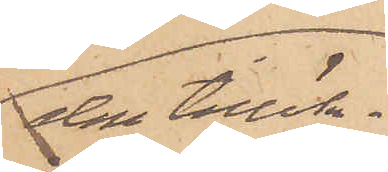den tillök¬
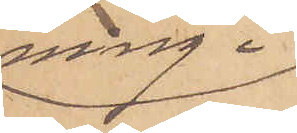ning i
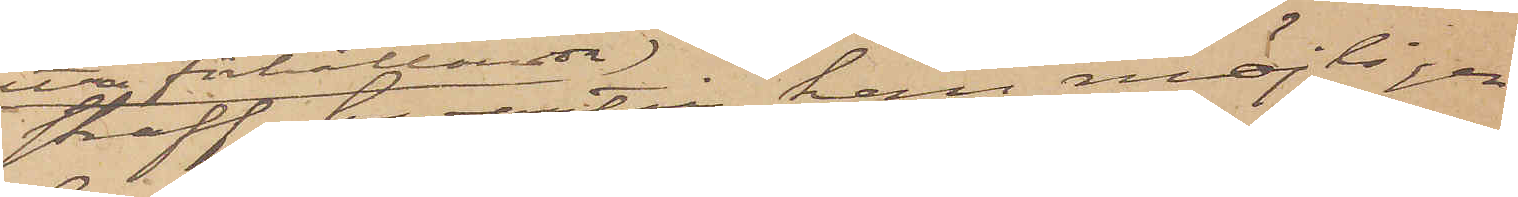straff, hvartill han möjligen
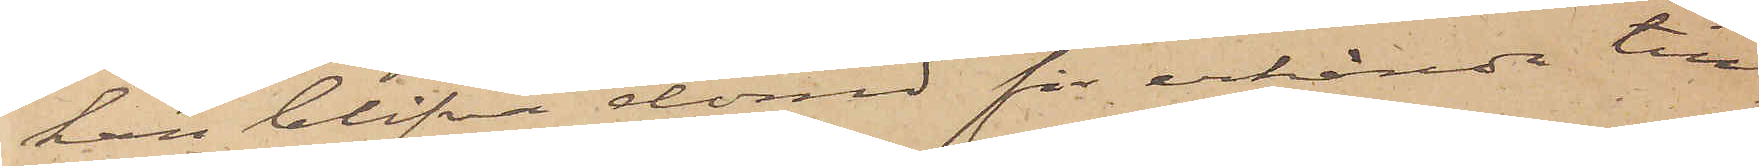kan blifva dömd för erkända till¬
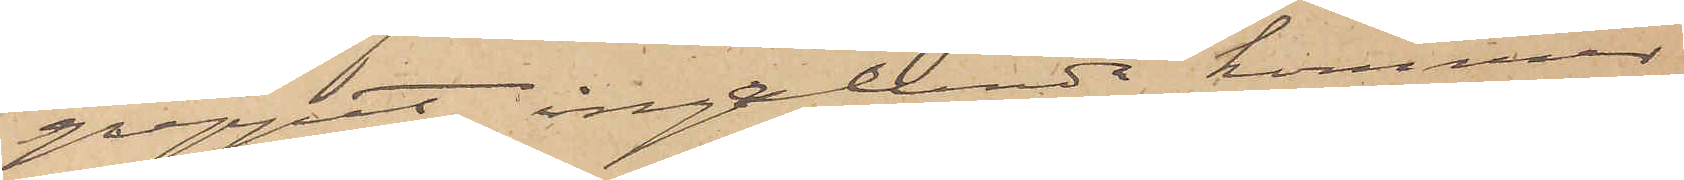greppet, ingalunda kommer
